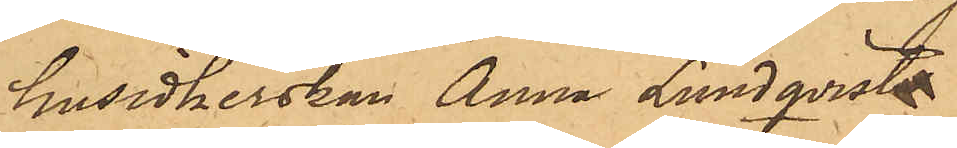husidkerskan Anna Lundqvist
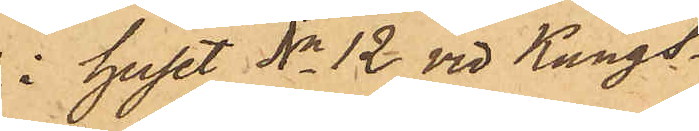i huset No 12 vid Kungs¬
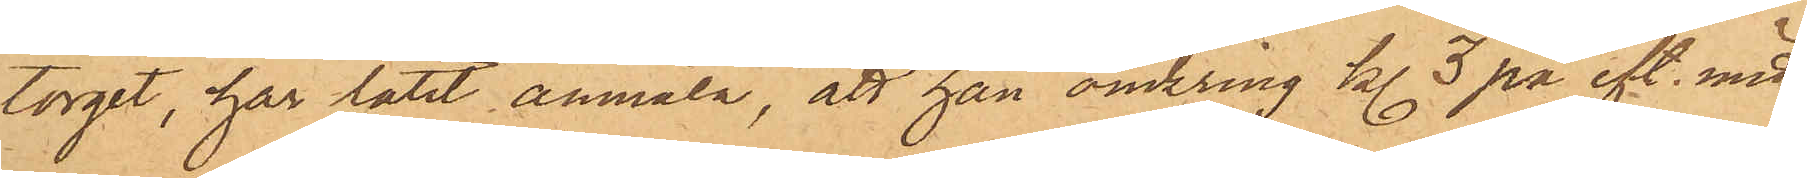torget, har låtit anmäla, att han omkring kl. 3 på eft. midd.
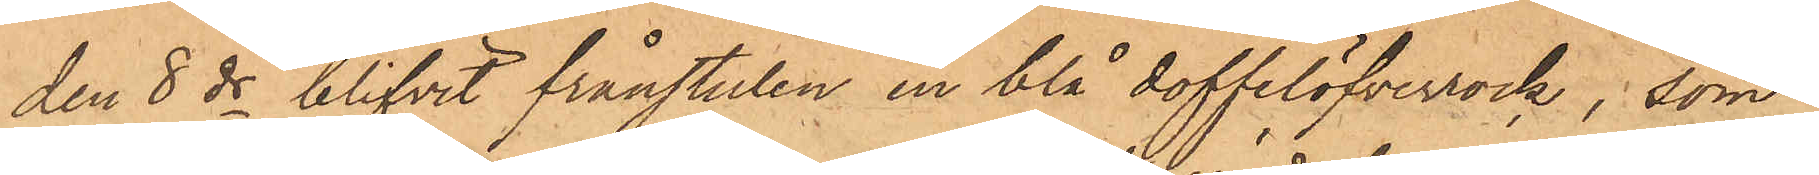den 8 ds blifvit frånstulen en blå doffelöfverrock, som
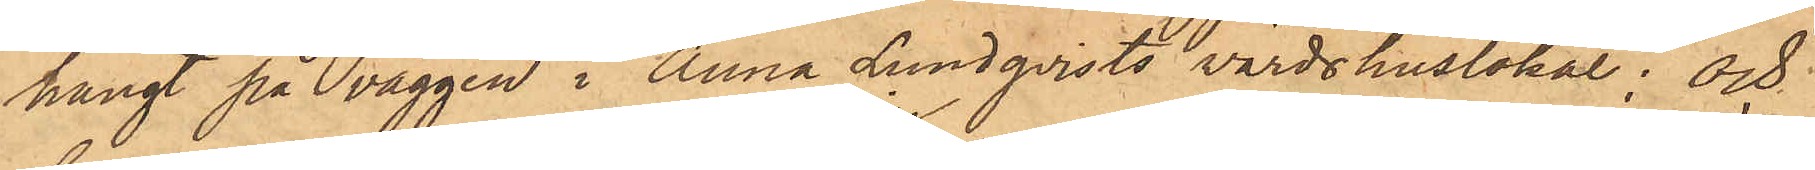hängt på väggen i Anna Lundqvists värdshuslokal; och
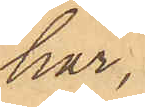har,
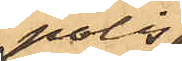polis¬
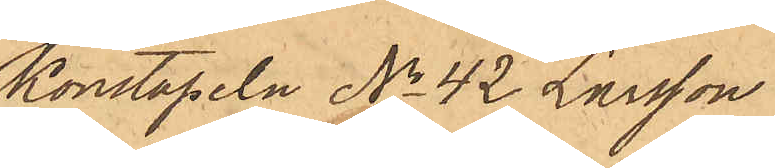Konstapeln No 42 Larsson
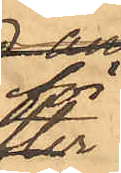för
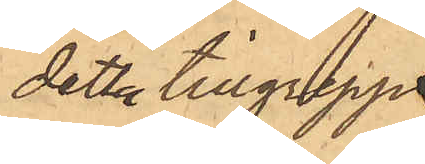detta tillgrepp
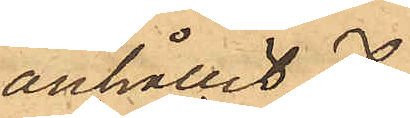anhållit
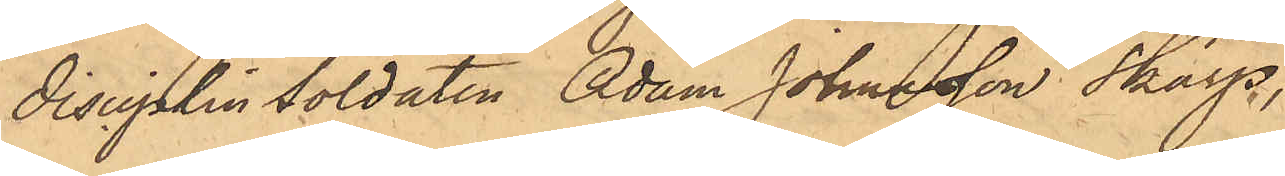disciplinSoldaten Adam Johansson Skarp,
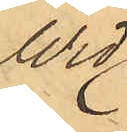Wid
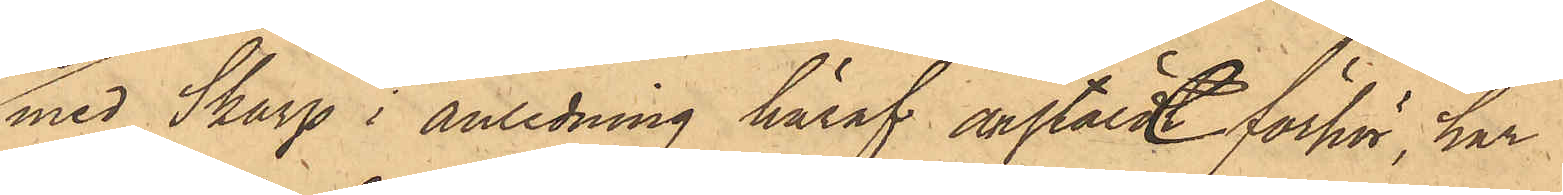med Skarp i anledning häraf anstäldt förhör, har
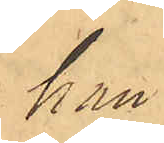han
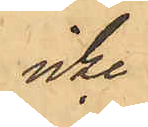icke
